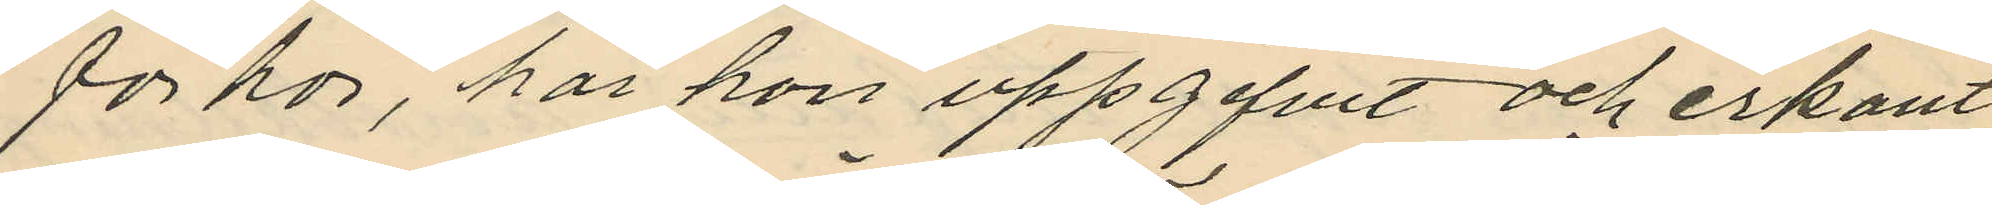förhör, har hon uppgifvit och erkänt
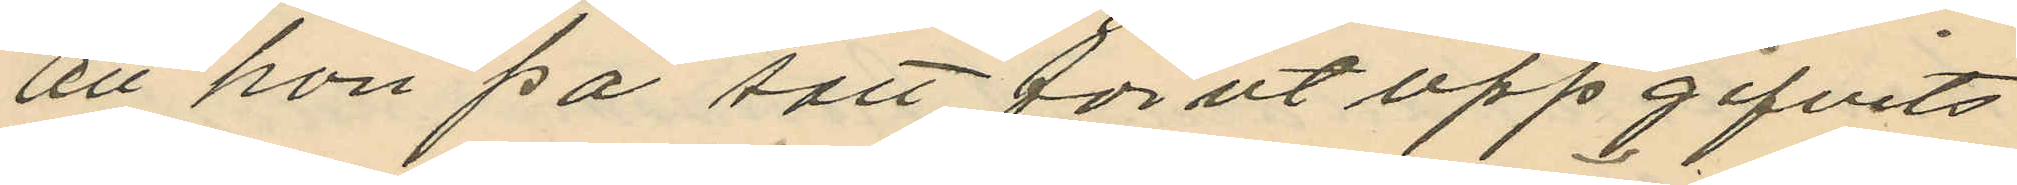att hon på sätt förut uppgifvits
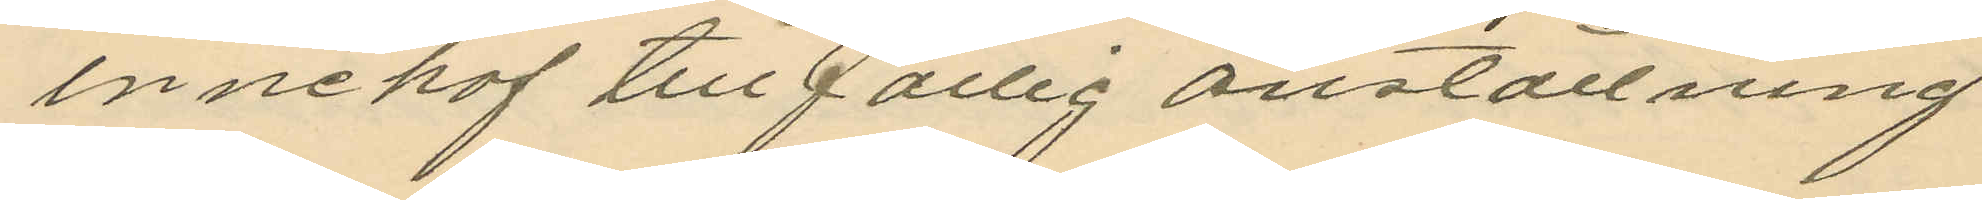innehaf tillfällig anställning
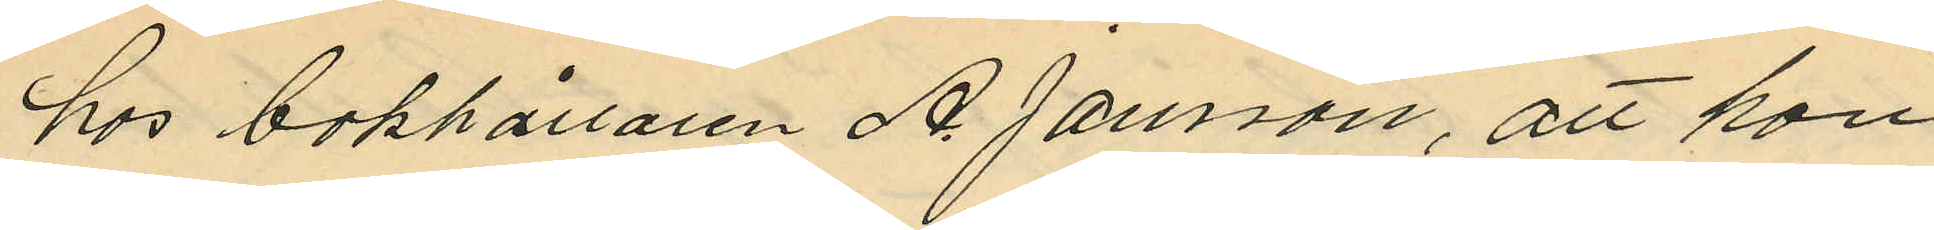hos bokhållaren A. Jansson, att hon
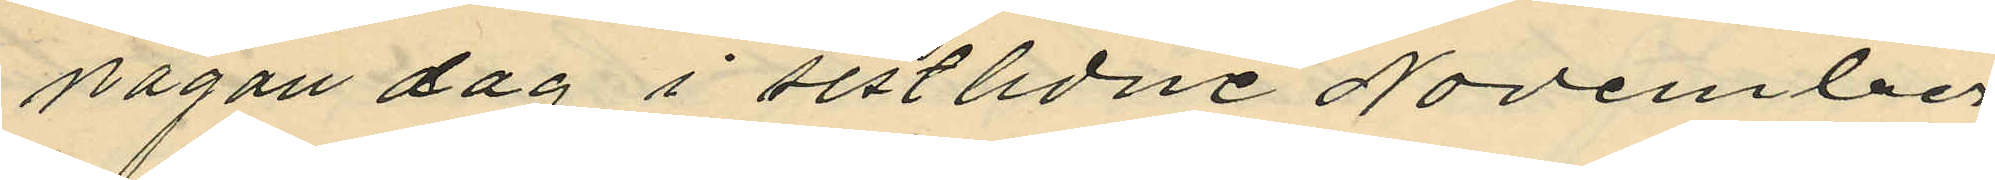någon dag i sistlidne November
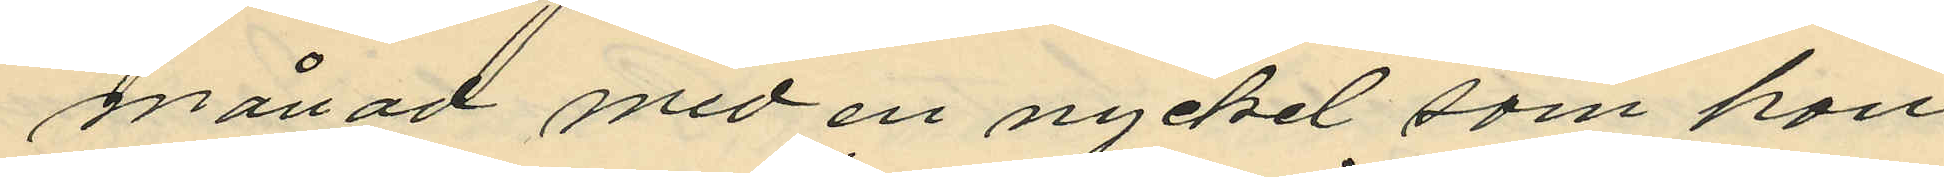månad med en nyckel som hon
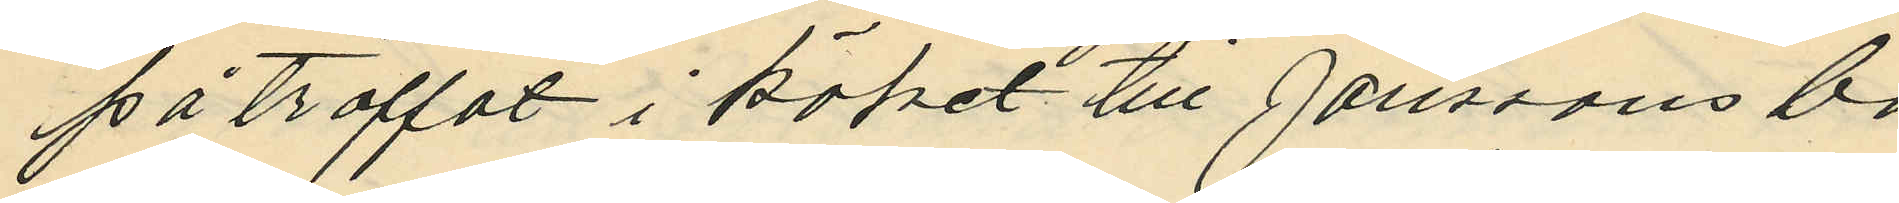på träffat i köket till Janssons bo
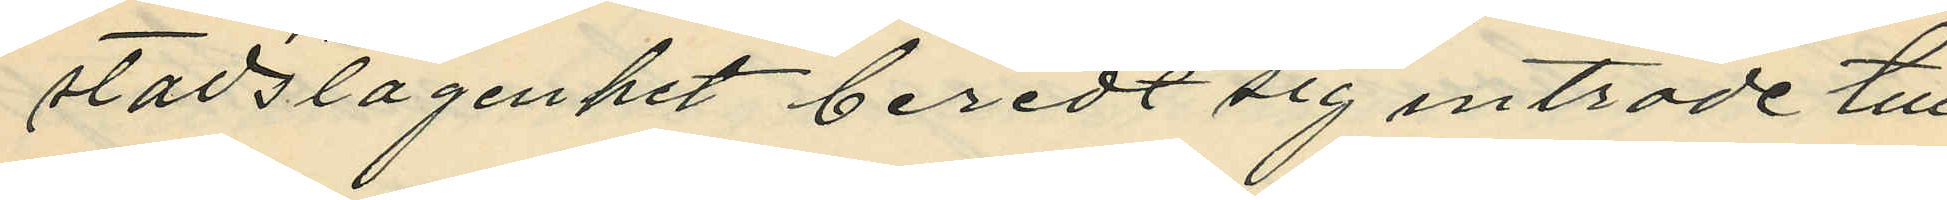stadslägenhet beredt sig inträde till
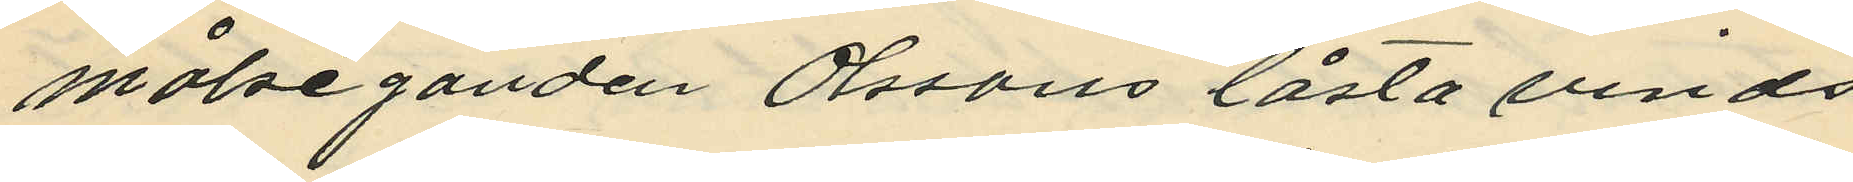målseganden Olssons låsta vinds
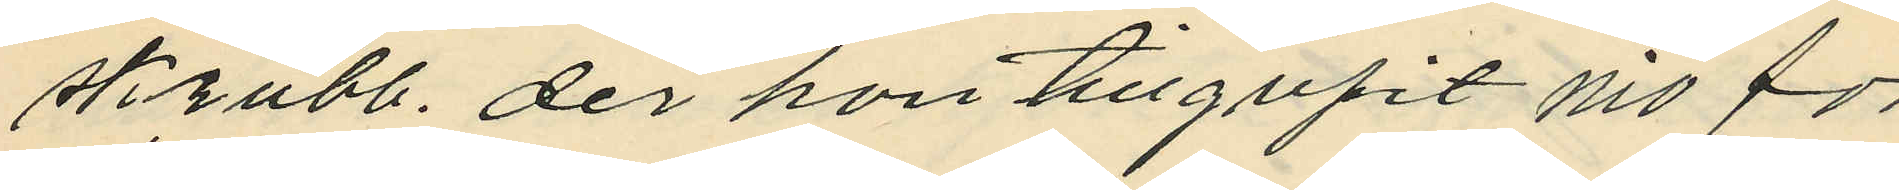skrubb, der hon tillgripit nio för
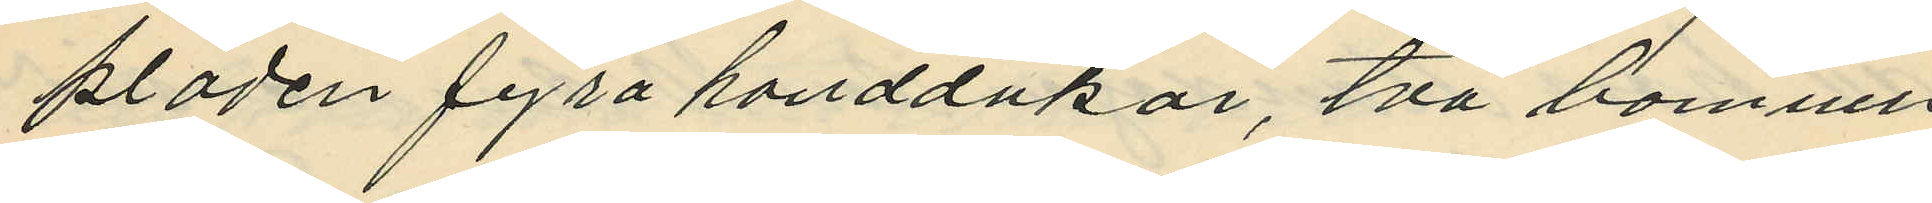kläden fyra handdukar, två bomulls
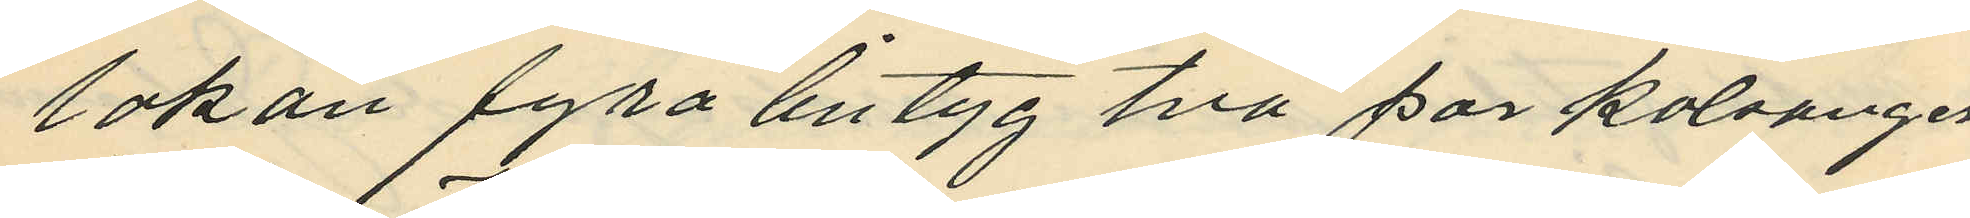lakan fyra lintyg två par kalsonger
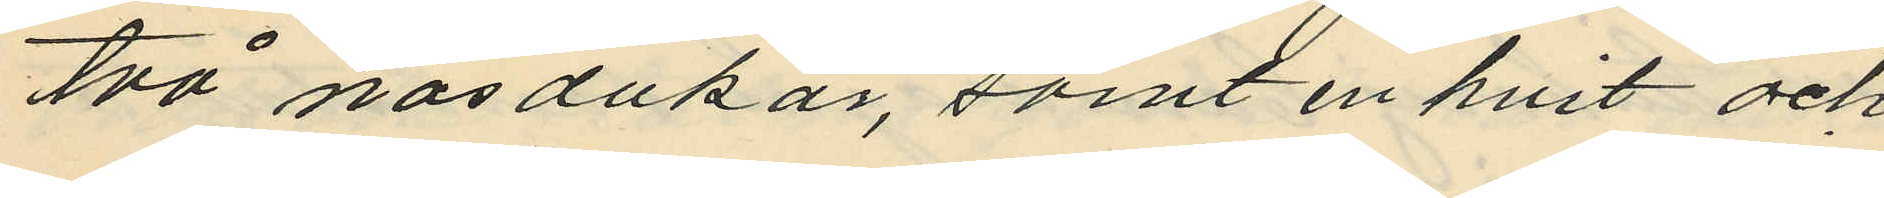två näsdukar, samt en hvit och
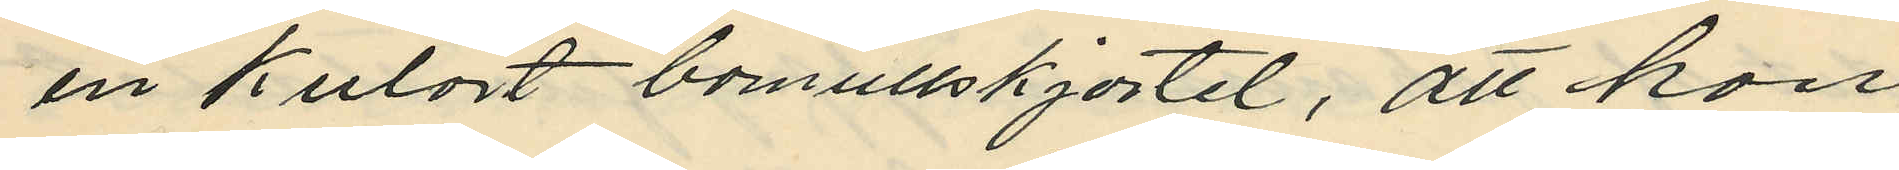en kulört bomullskjortel, att hon,
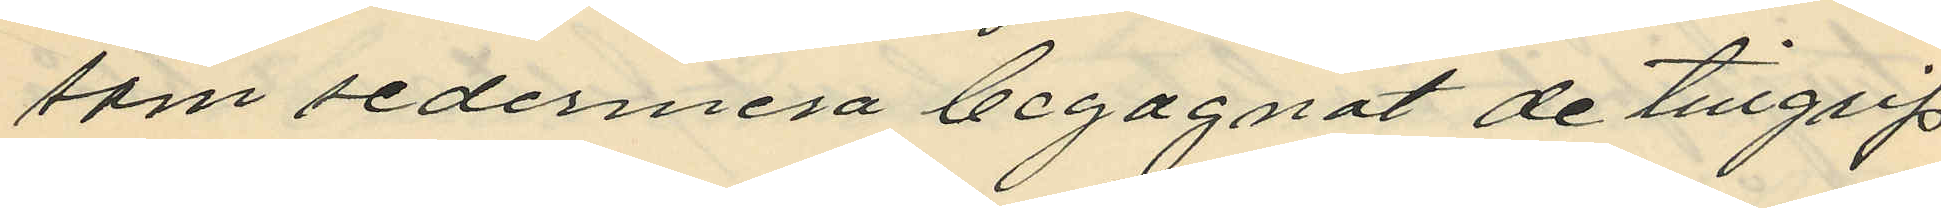som sedermera begagnat de tillgrip
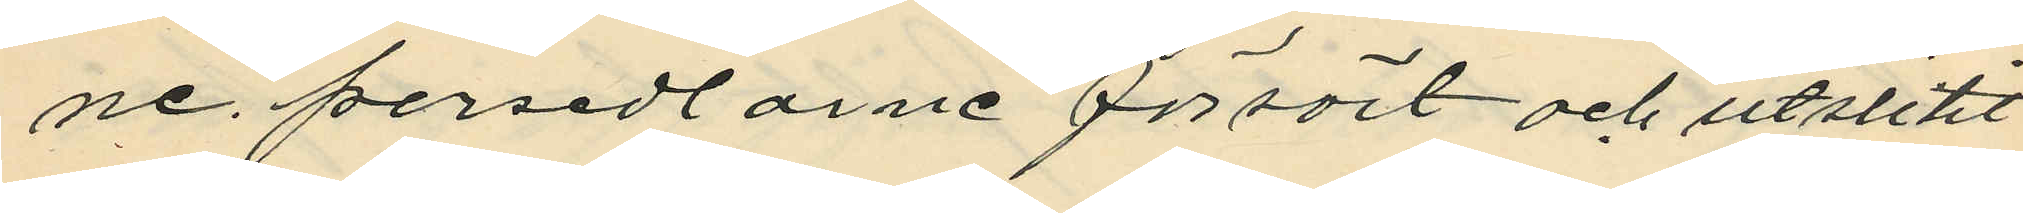ne persedlarne försört och utslitit
